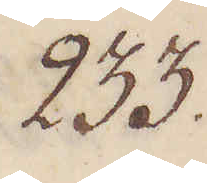233.
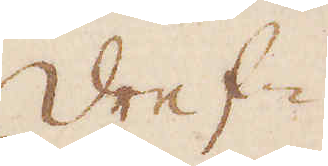Dref-
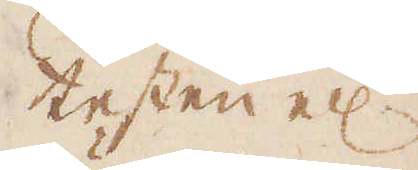testen el:r
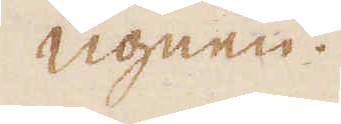ugnen.
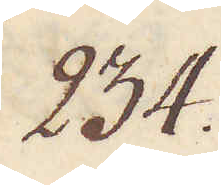234.
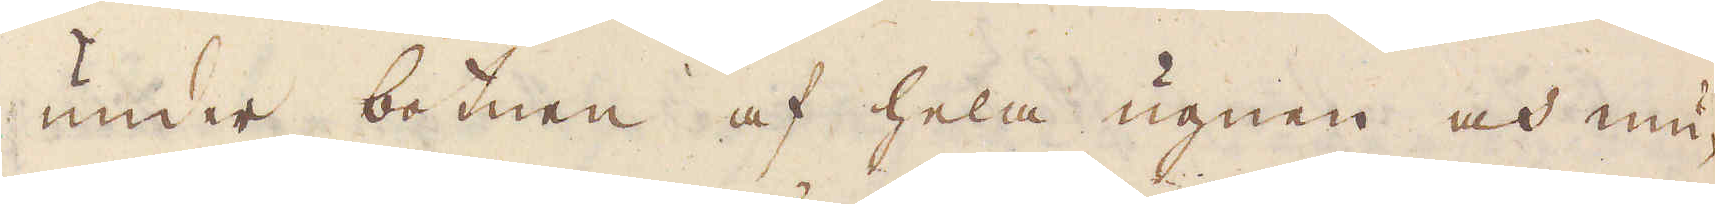under botnen af hela ugnen och mu-
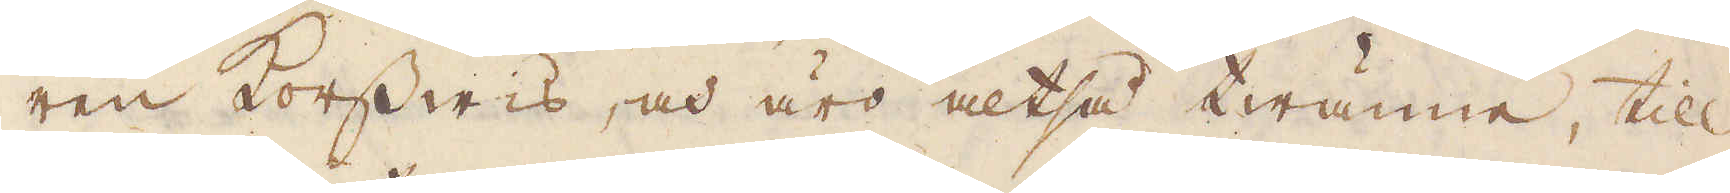ren korswis, och äro altså twänne, till
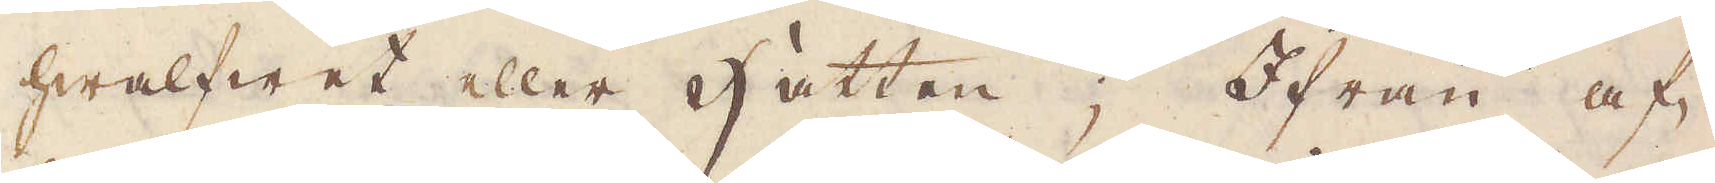hwalfwet eller Hätten; Ifrån af-
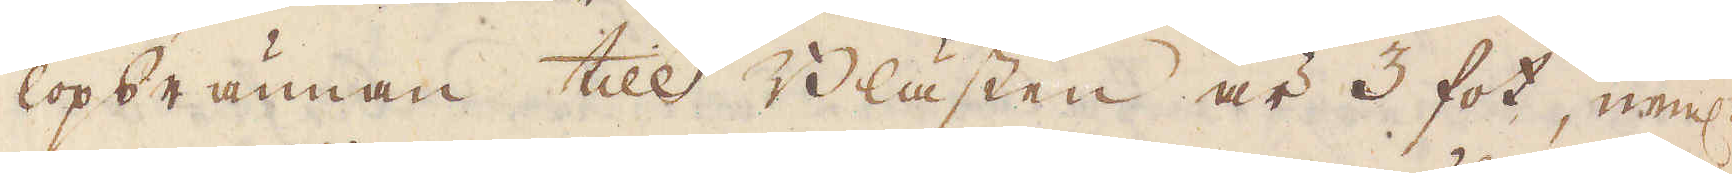lopsrännan till Blästen är 3 fot, el:r
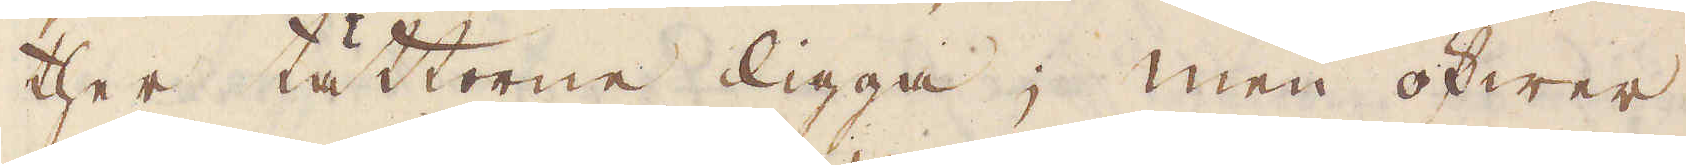ther tättorne ligga; men öfwer
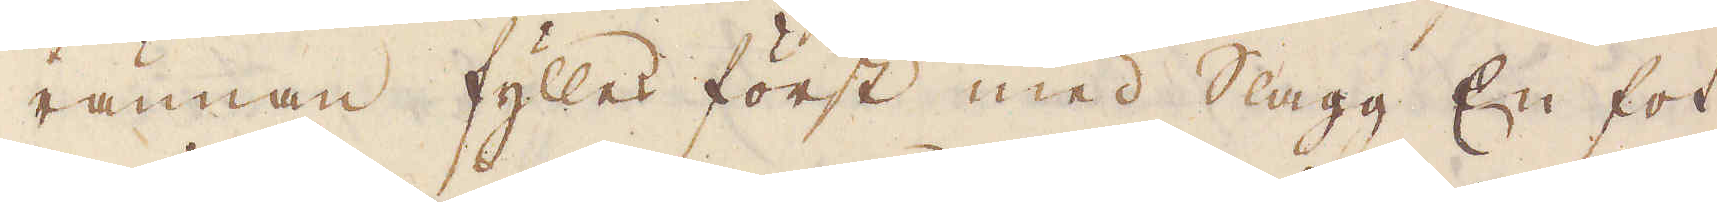rännan fylles först med Slagg En fot
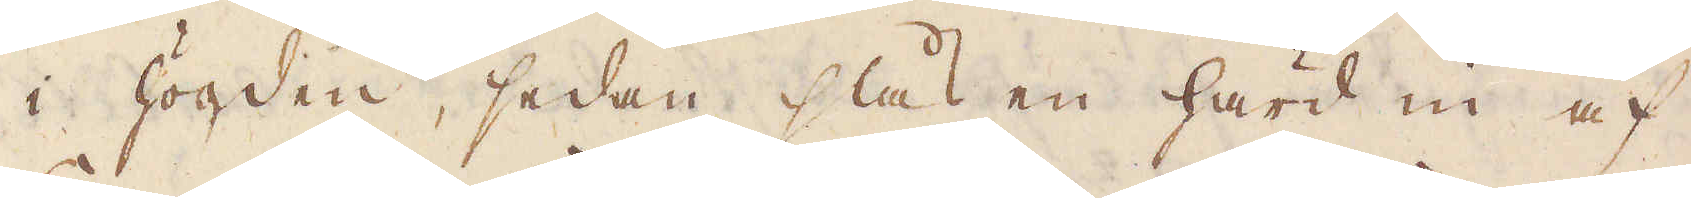i högden, sedan slås en härd in af
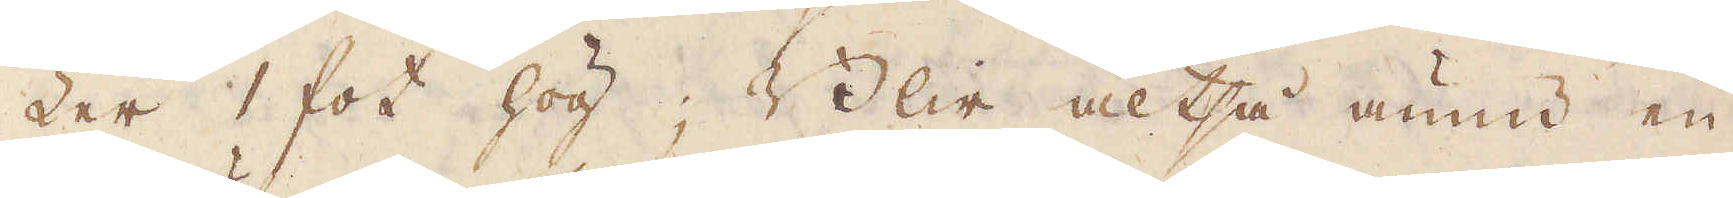Ler 1 fot hög; Blir altså ännu en
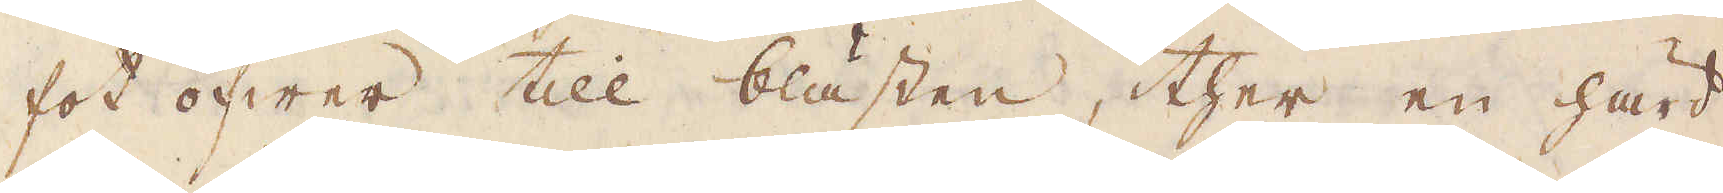fot öfwer till blästen, ther en härd
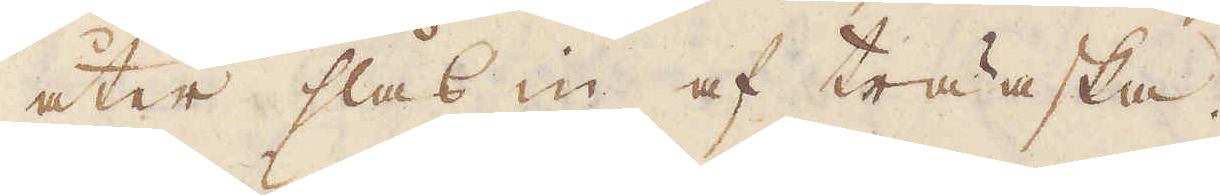åter slås in af träaska.
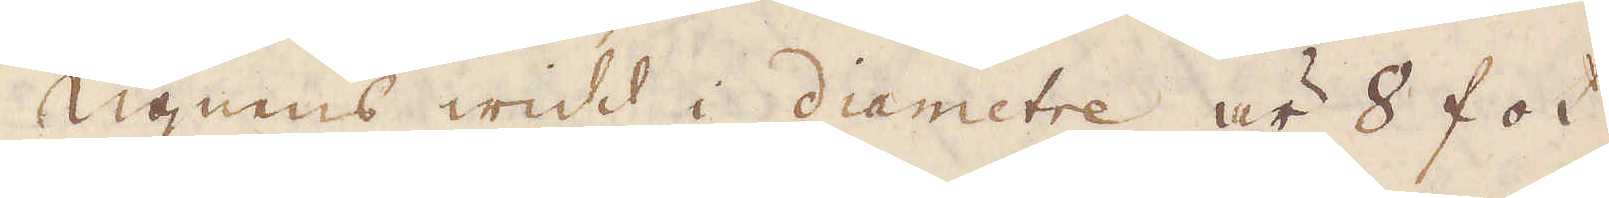Ugnens widd i diametre är 8 fot
